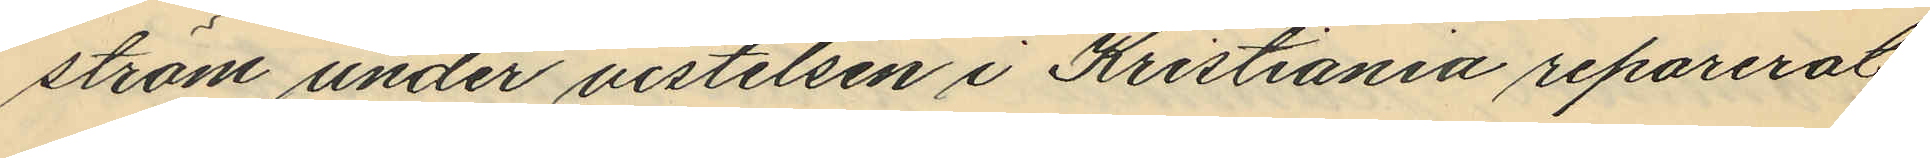ström under vistelsen i Kristiania reparerat
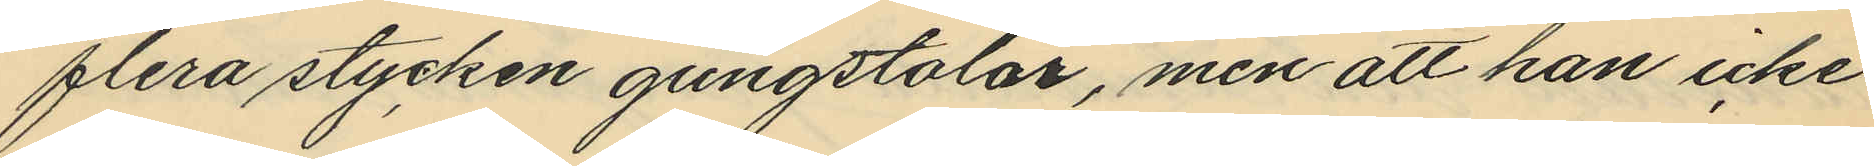flera stycken gungstolar, men att han icke
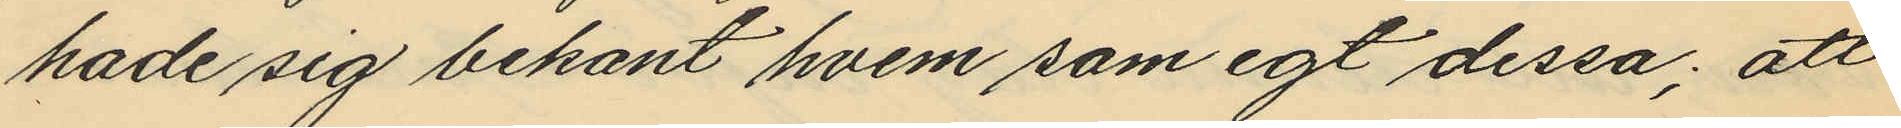hade sig bekant hvem som egt dessa; att
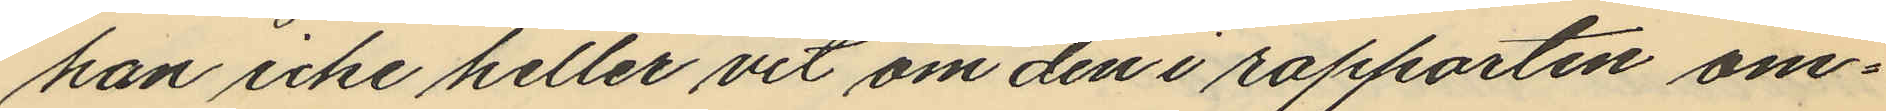han icke heller vet om den i rapporten om¬
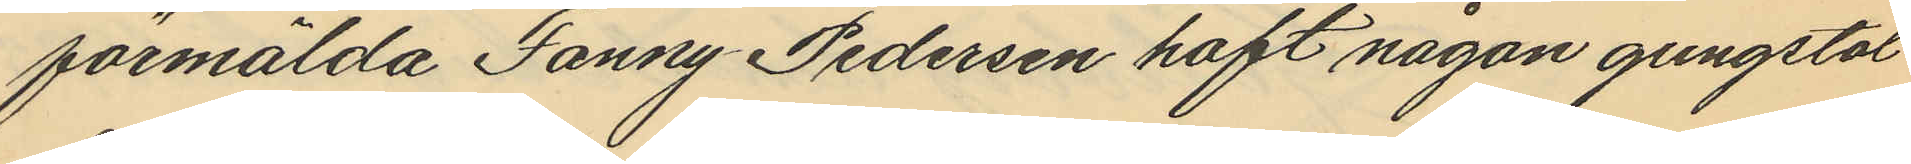förmälda Fanny Pedersen haft någon gungstol
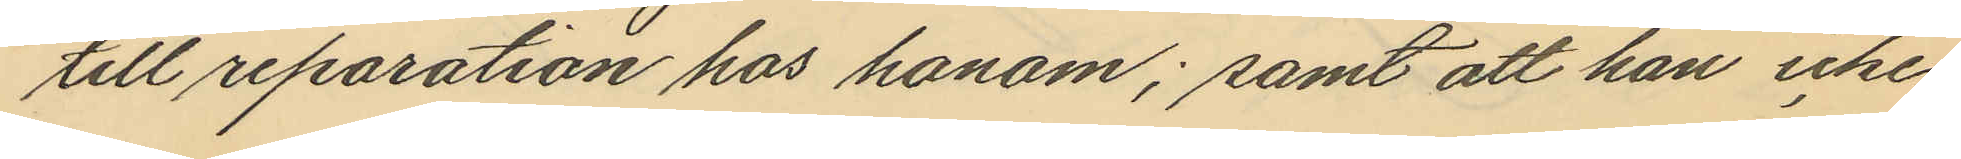till reparation hos honom; samt att han icke
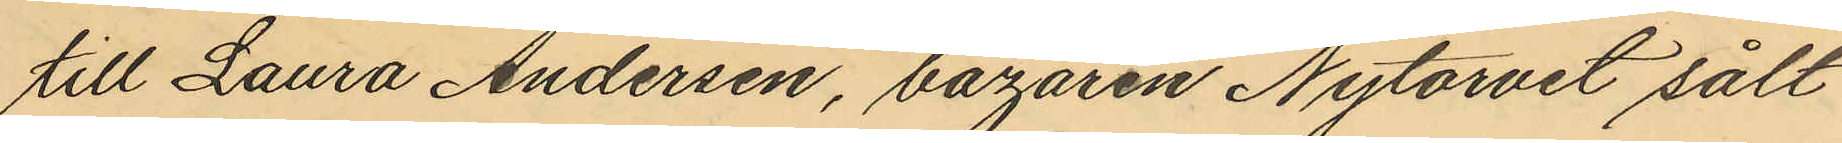till Laura Andersen, bazaren Nytorvet sålt
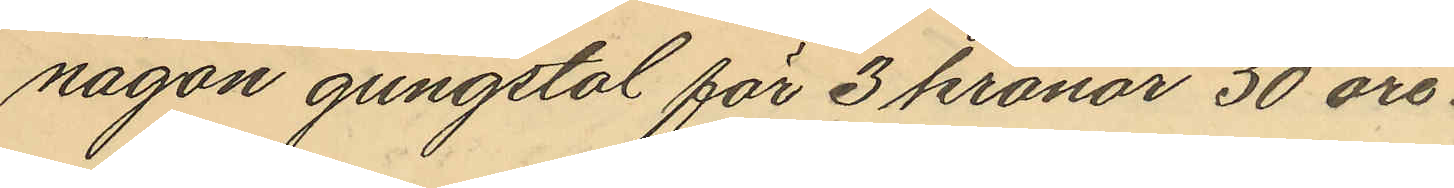någon gungstol för 3 kronor 50 öre.
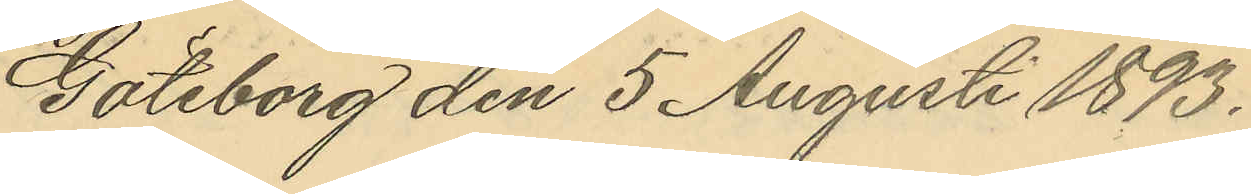Göteborg den 5 Augusti 1893.
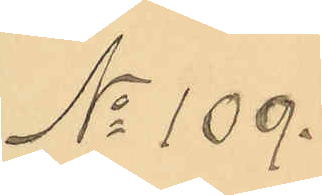No 109.
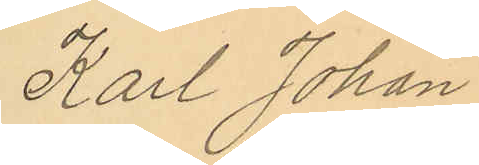Karl Johan
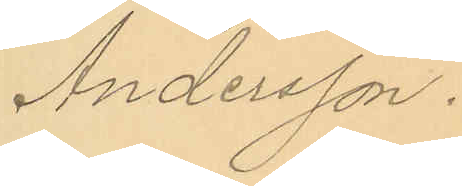Andersson.
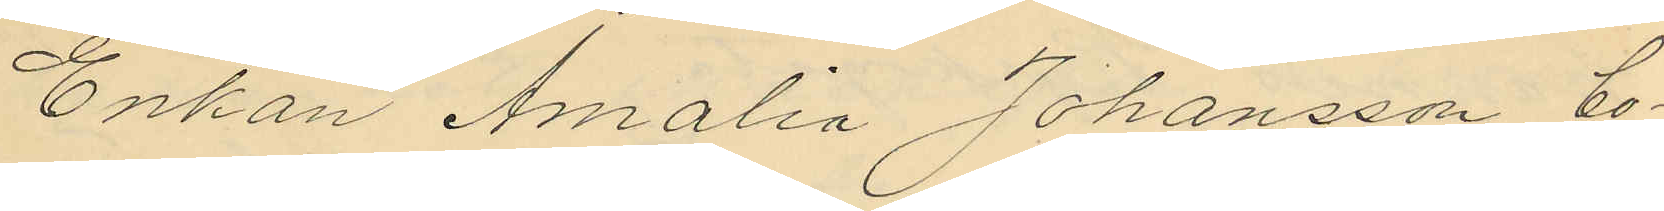Enkan Amalia Johansson, bo¬
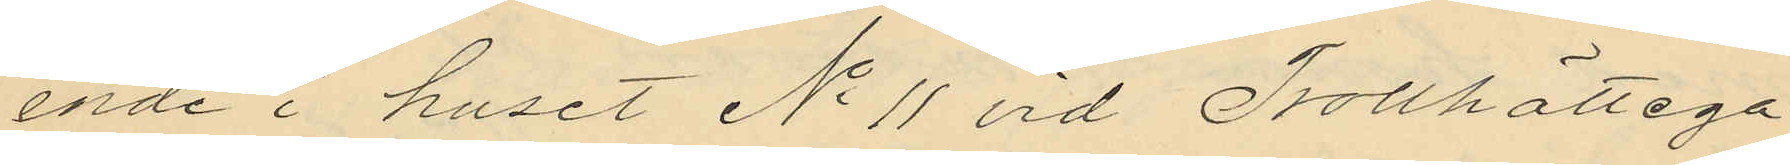ende i huset No 11 vid Trollhättega¬
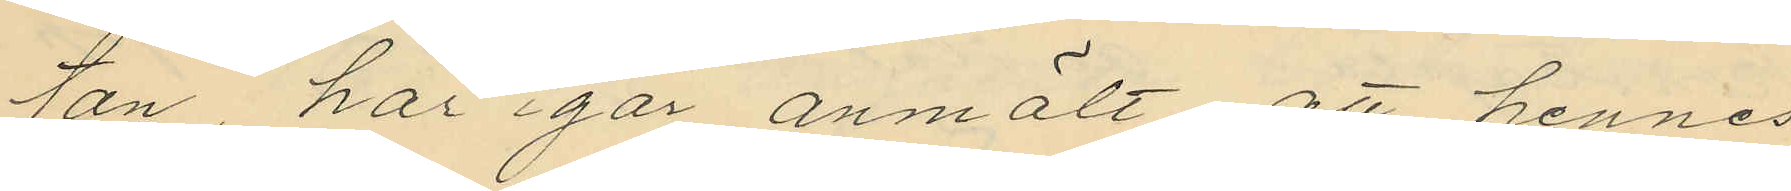tan har igår anmält att hennes
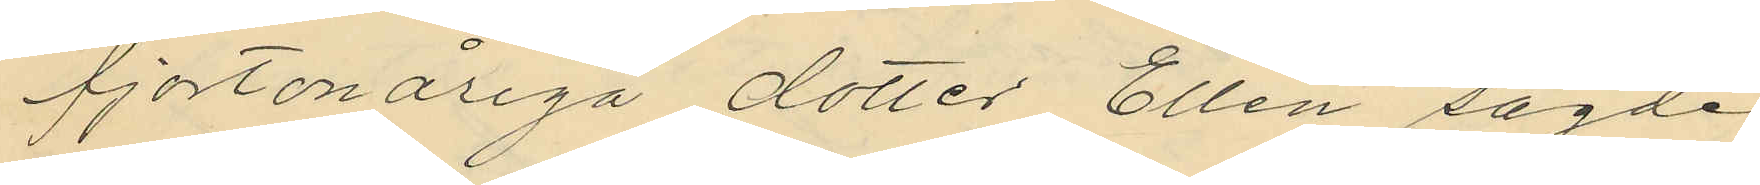fjortonåriga dotter Ellen sagde
